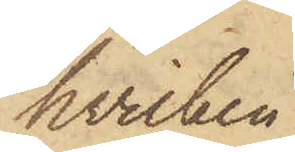hvilken
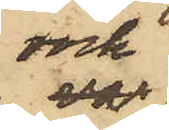rock
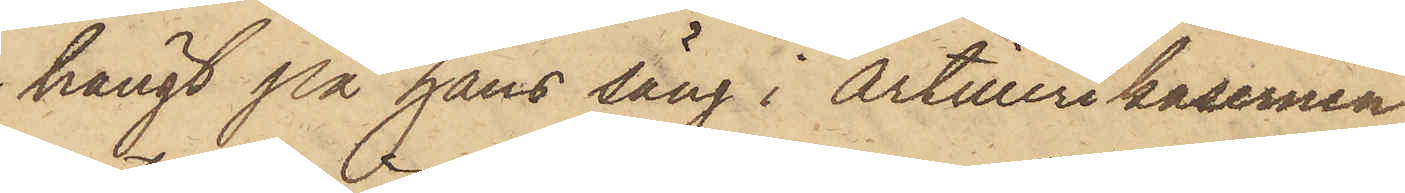hängt på hans säng i Artillerikasernen
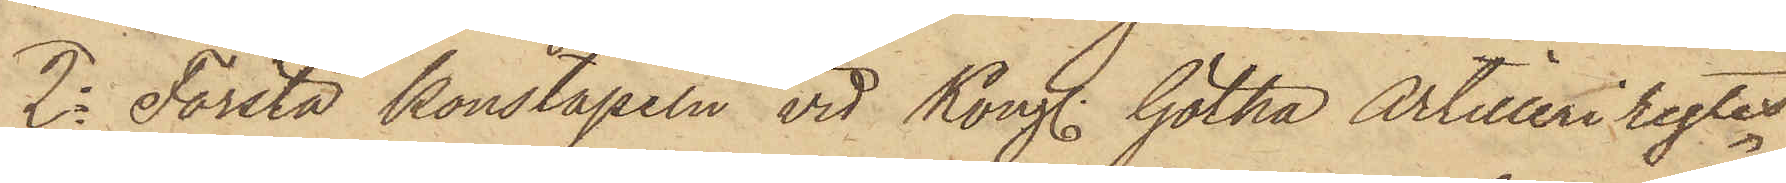2o Första konstapeln vid Kongl. Götha Artilleri regtes
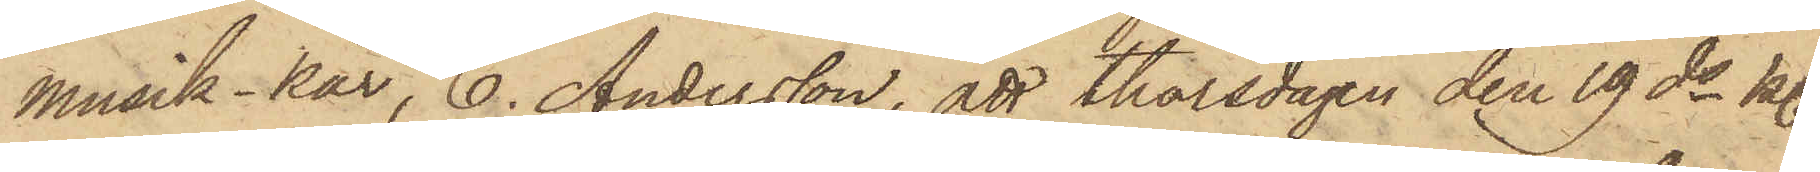musik-kår, C. Andersson, att thorsdagen den 19 ds kl.
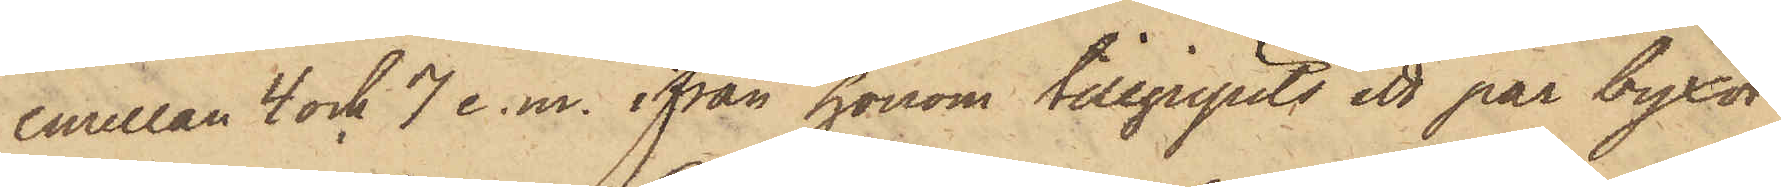emellan 4 och 7 e. m. ifrån honom tillgripits ett par byxor
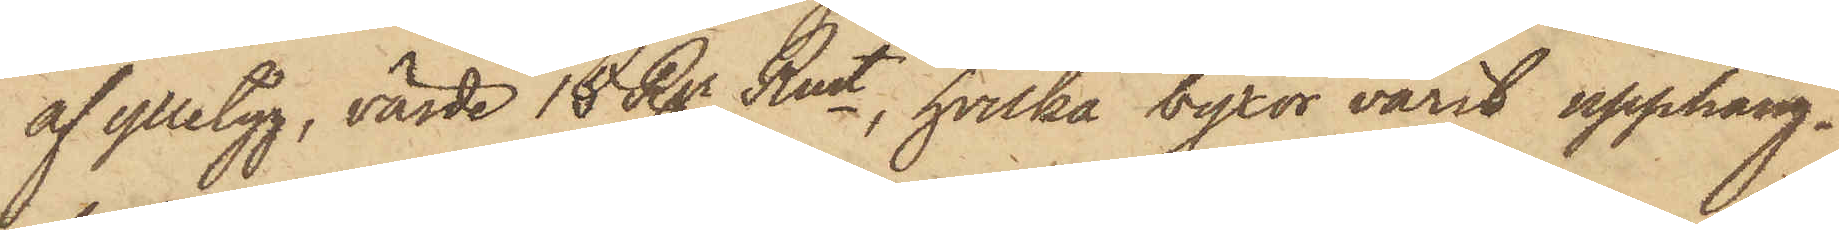af ylletyg, värde 15 Rgr Rmt, hvilka byxor varit upphäng¬
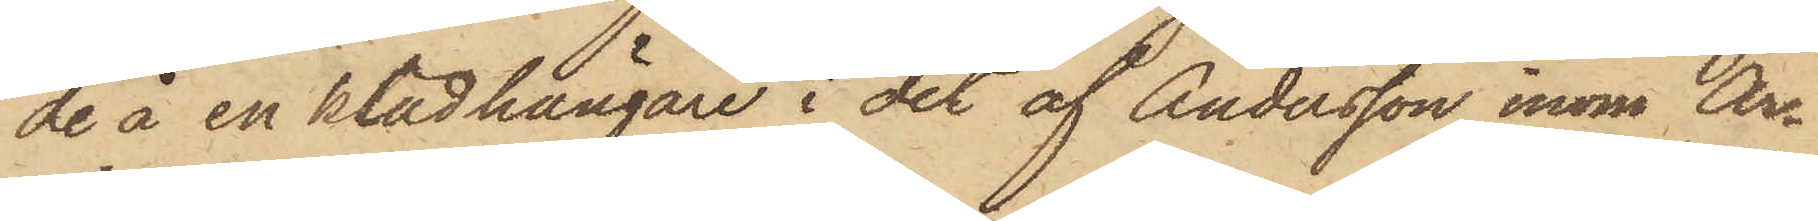de å en klädhängare i det af Andersson inom Ar¬
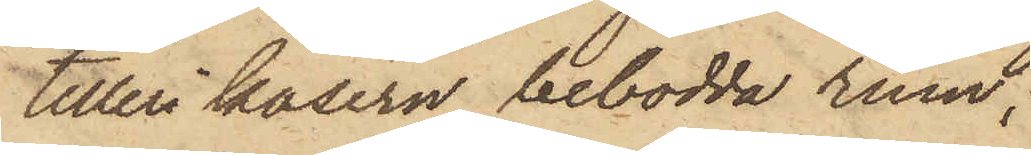tilleri kasern bebodda rum;
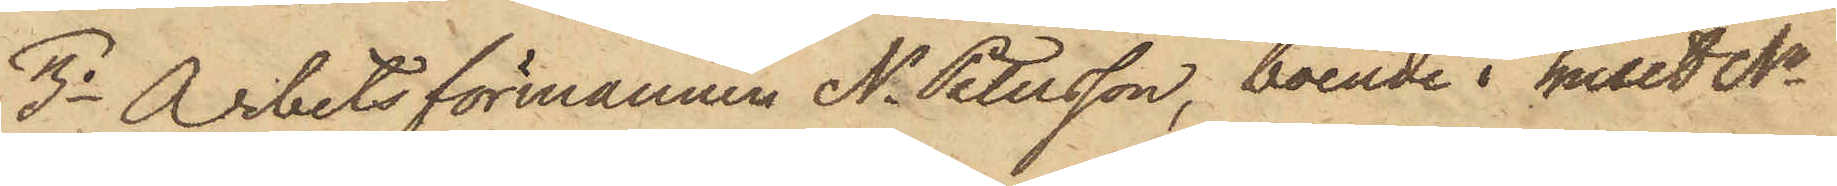3o Arbetsförmannen N. Petersson, boende i huset No
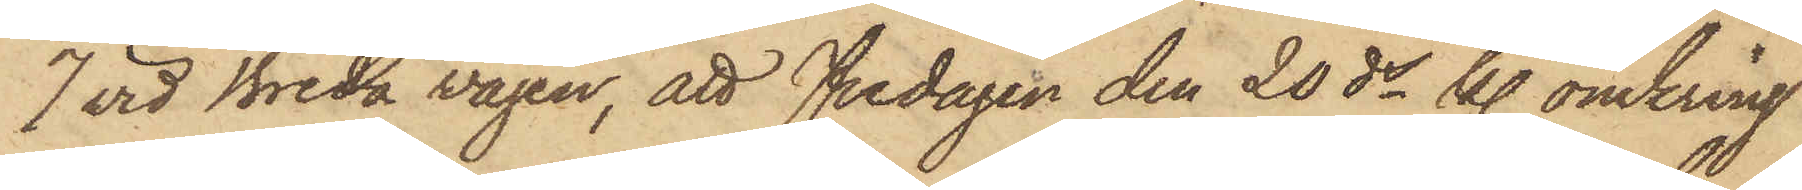7 vid Breda vägen, att Fredagen den 20 ds kl. omkring
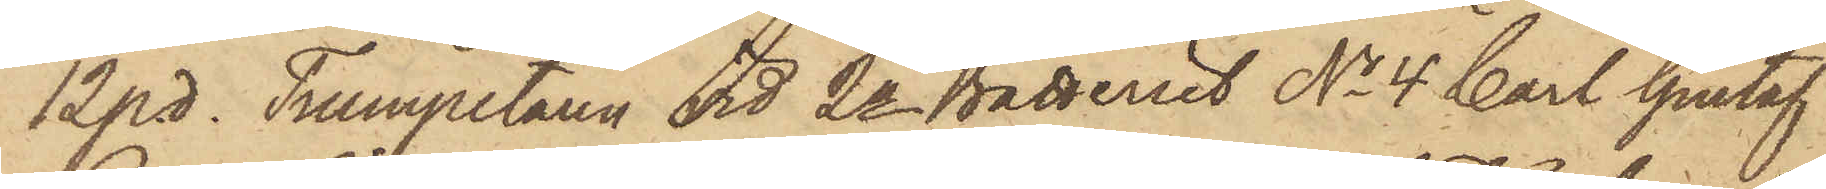12 p. d. Trumpetaren vid 2a Batteriet No 4 Carl Gustaf
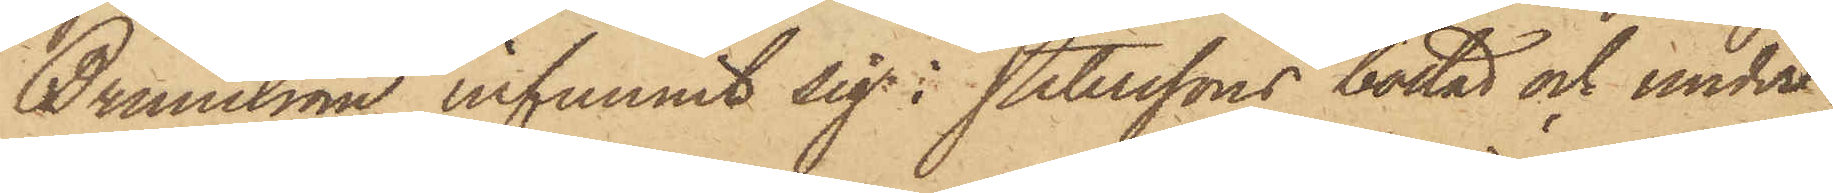Brunström infunnit sig i Peterssons bostad och under
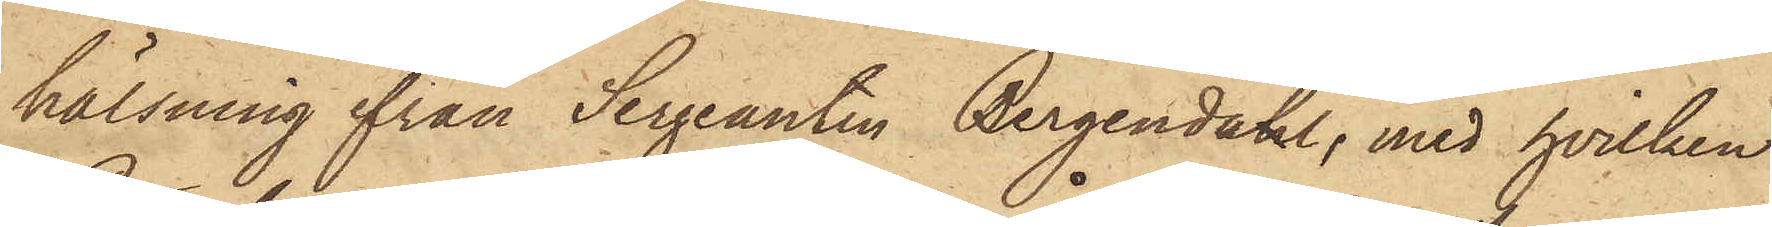hälsning från Sergeanten Bergendahl, med hvilken
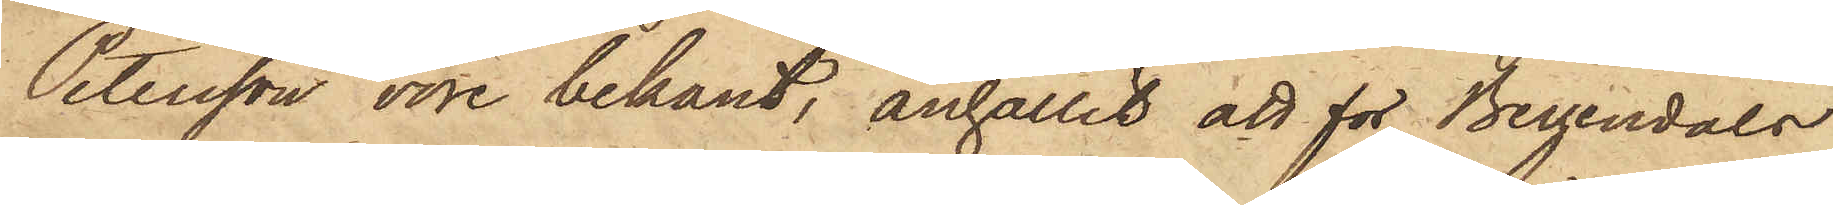Petersson vore bekant, anhållit att för Bergendals
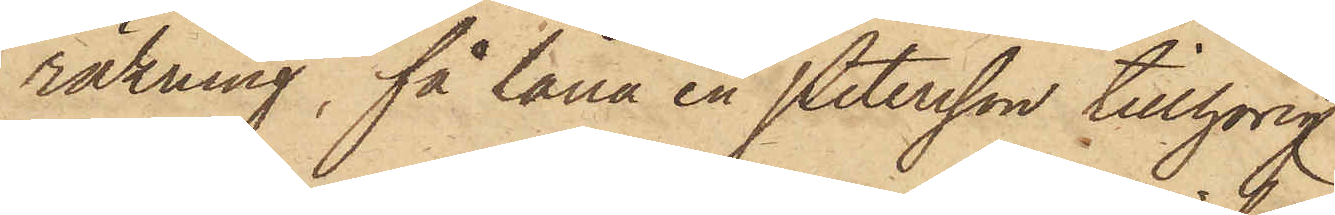räkning, få låna en Petersson tillhörig
